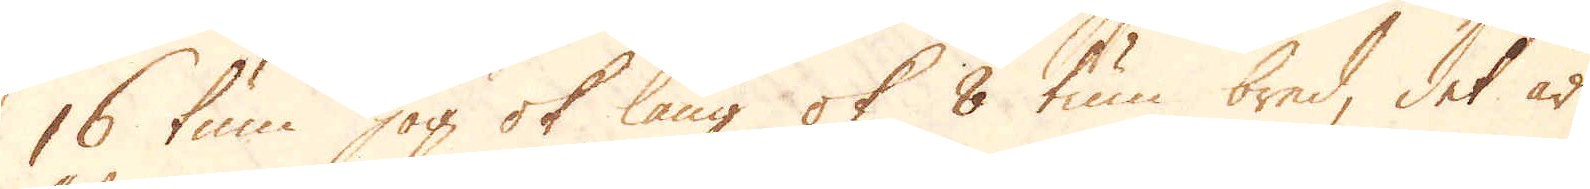16 tum hög ok lång ok 8 tum bred, det är
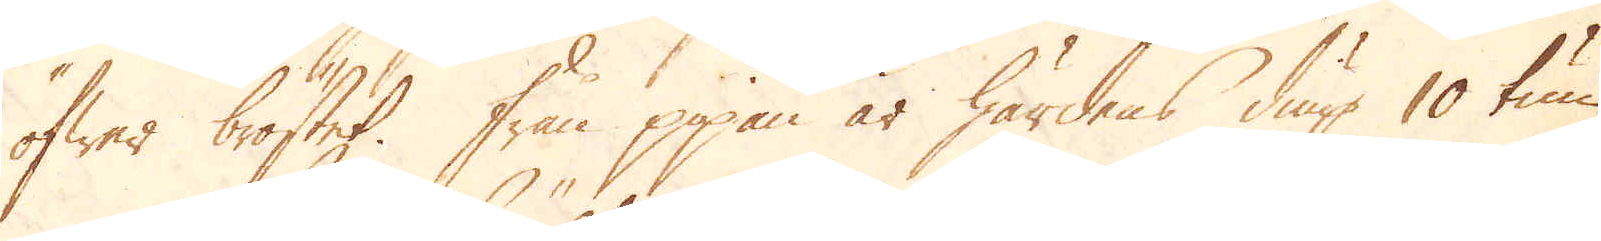öfwer bröstet från pipan är härdens diup 10 tum.
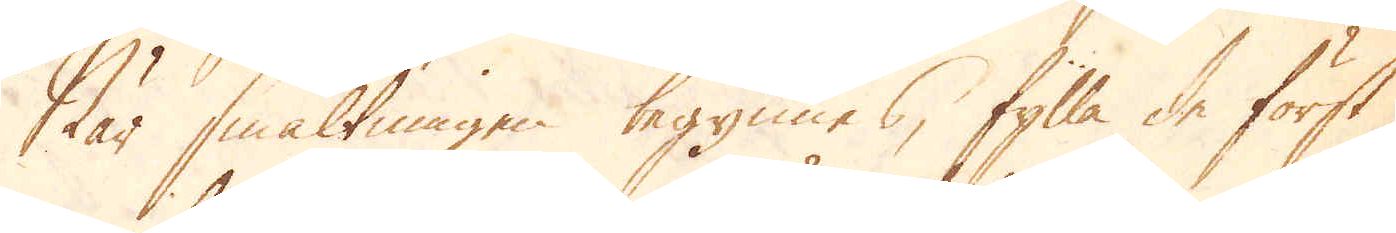När smältningen begynnes, fylla de först
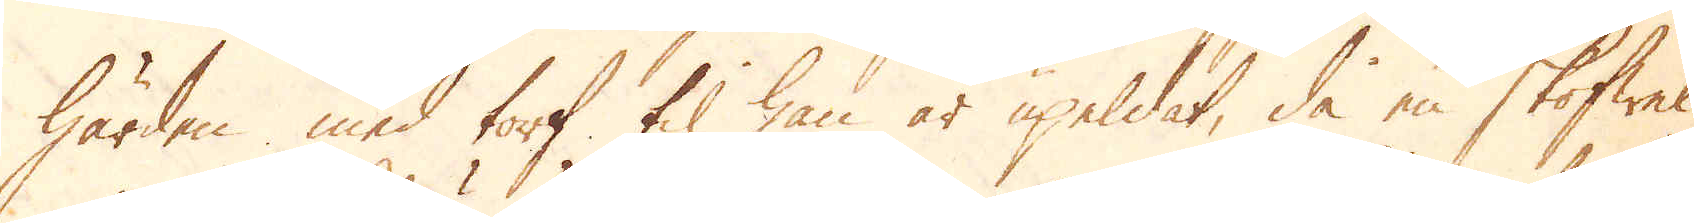härden med torf til han är upeldat, då en skofwel
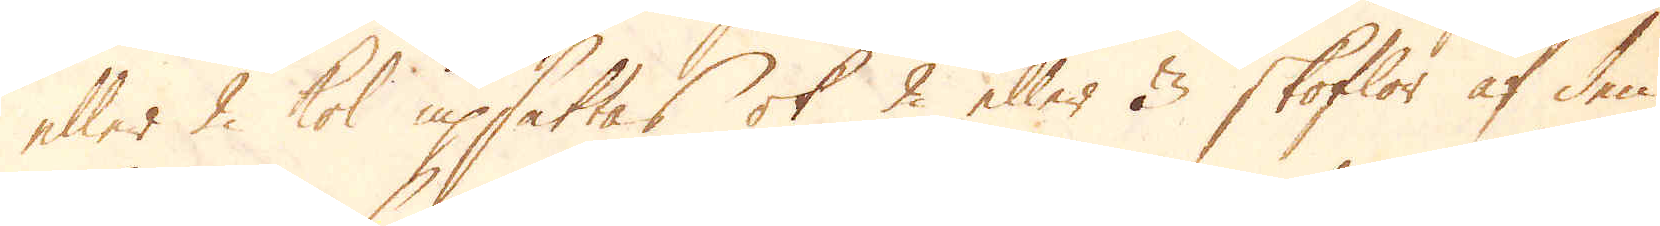eller 2 kol upsättas ok 2 eller 3 skoflor af den
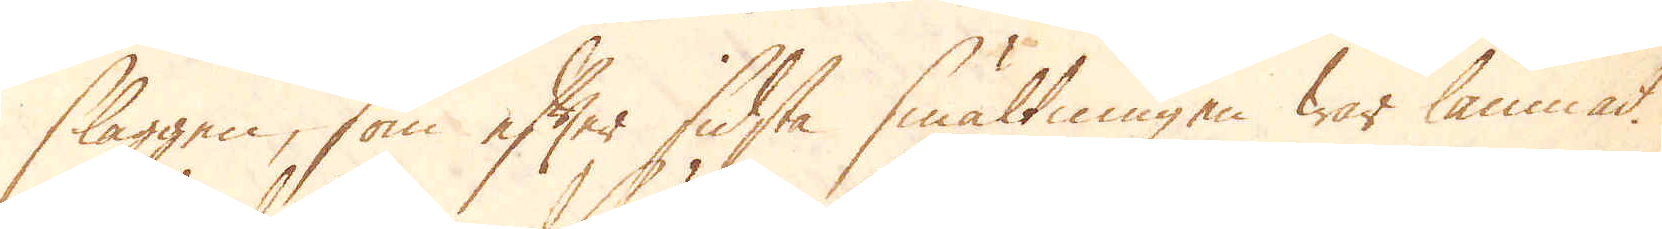slaggen, som efter sidsta smältningen war lämnat.
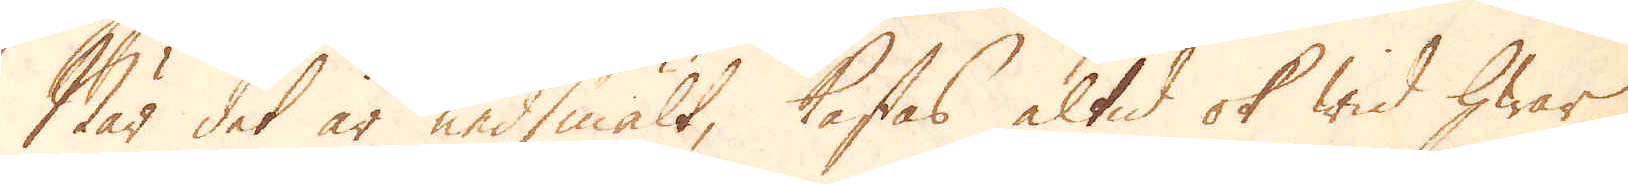När det är nedsmält, kastas altid ok wid hwar
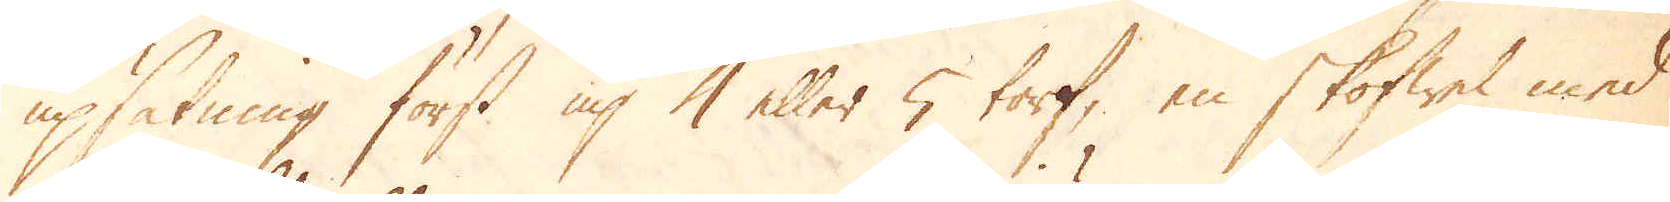upsätning först up 4 eller 5 torf, en skoffel med
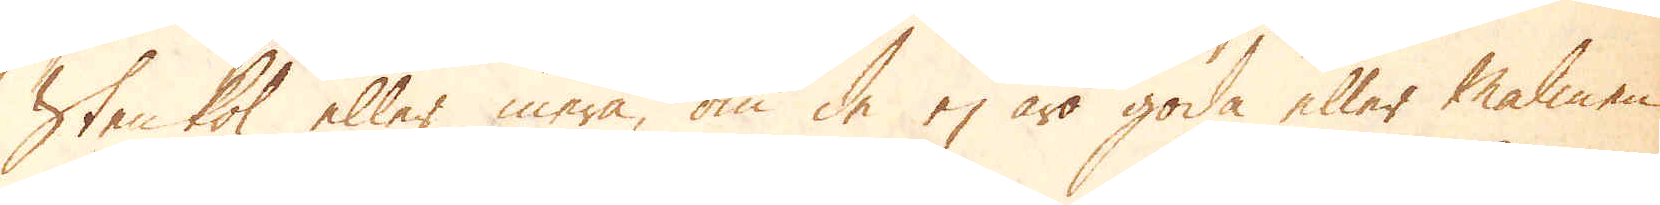stenkol eller mera, om de ej äro goda eller malmen
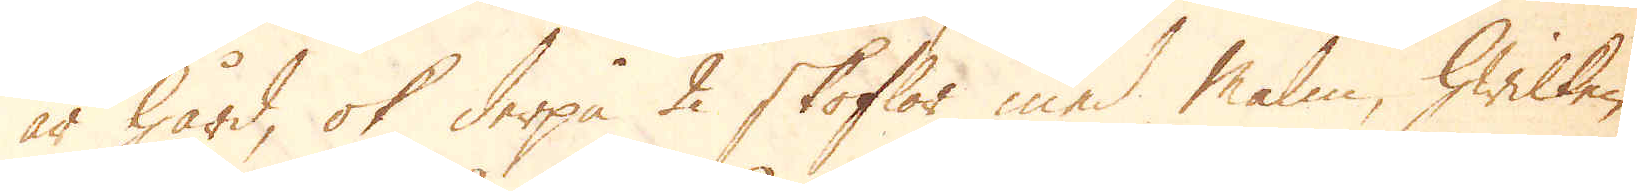är hård, ok derpå 2 skoflor med malm, hwilken
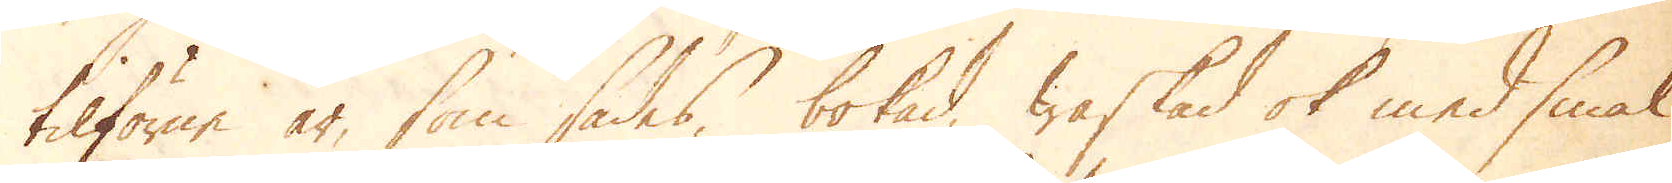tilförne är, som sades, bokad, waskad ok med smal
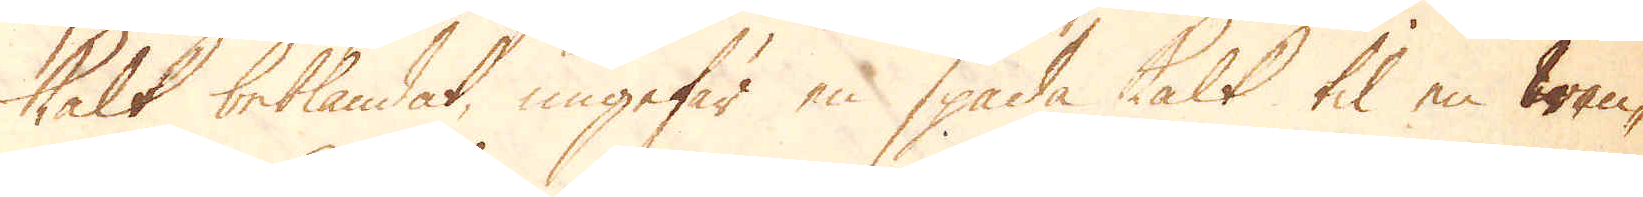kalk beblandat, ungefär en spada kalk til en wan-
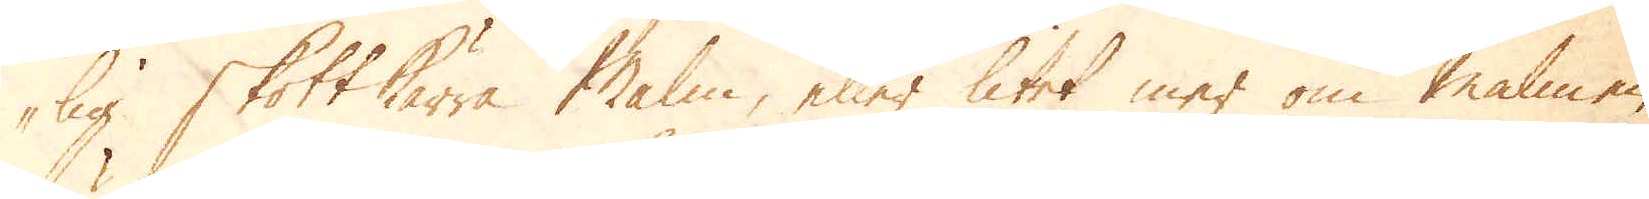lig skottkärra malm, eller litet mer om malmen
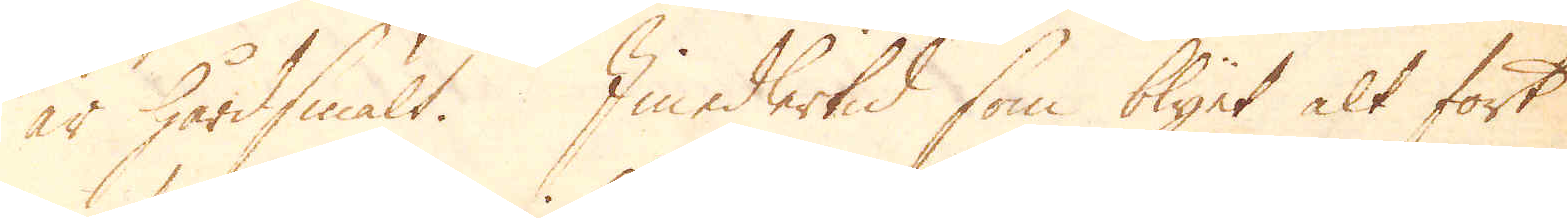är hårdsmält. Imedlertid som blyet alt fort
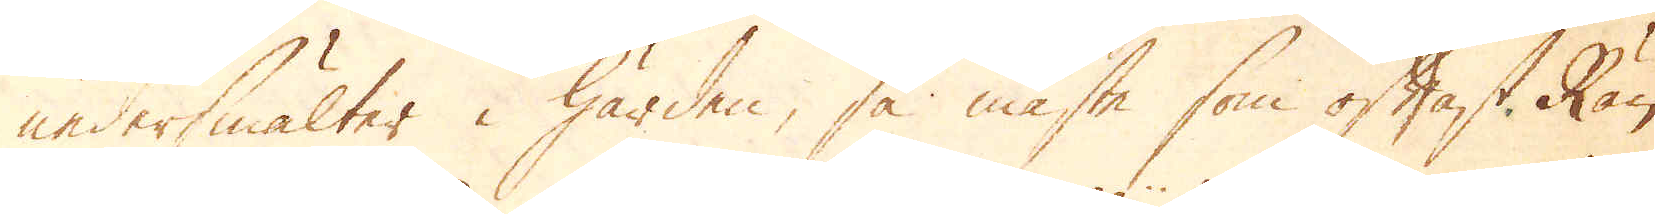nedersmälter i härden, så måste som oftast Rän-
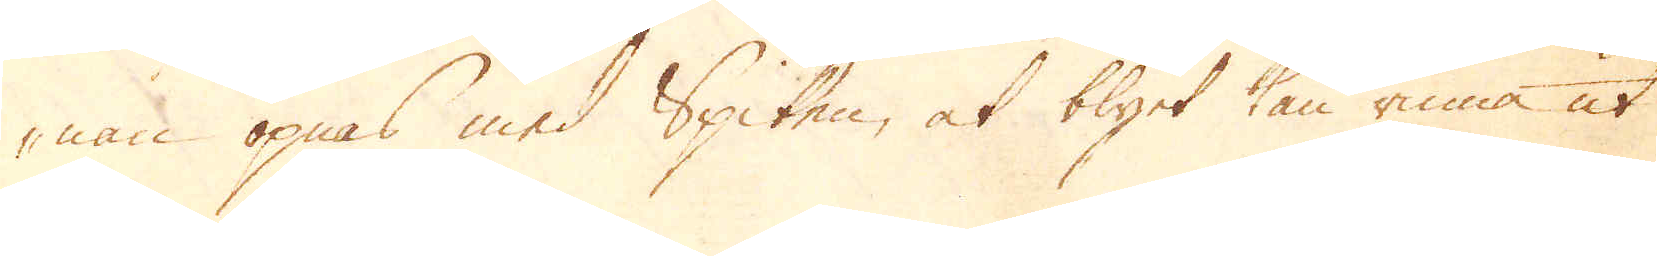nan öpnas med Spiten, at blyet kan rinna ut
